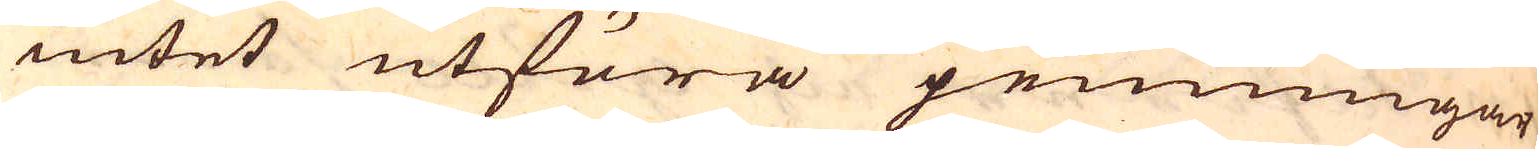intet utföra penningar
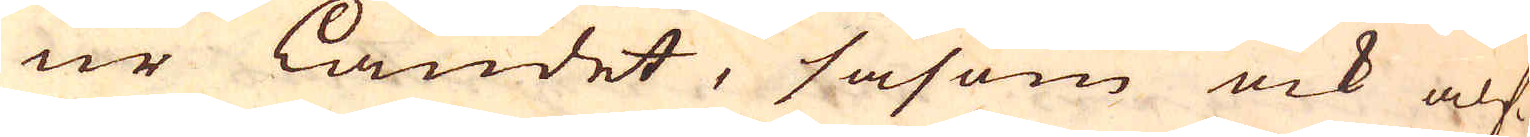ur landet, såsom ock alf-
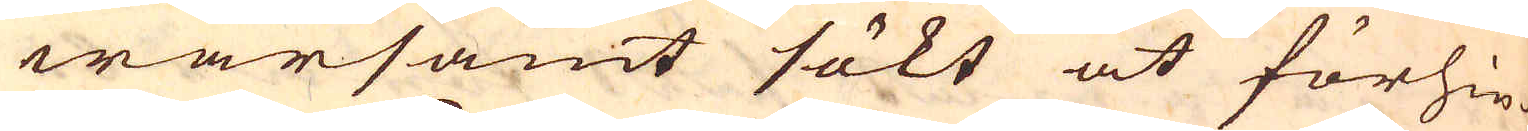warsamt sökt at förhin-
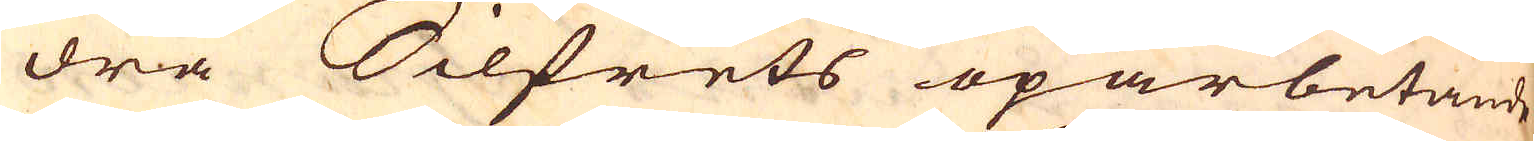dra Silfrets oparbetande,
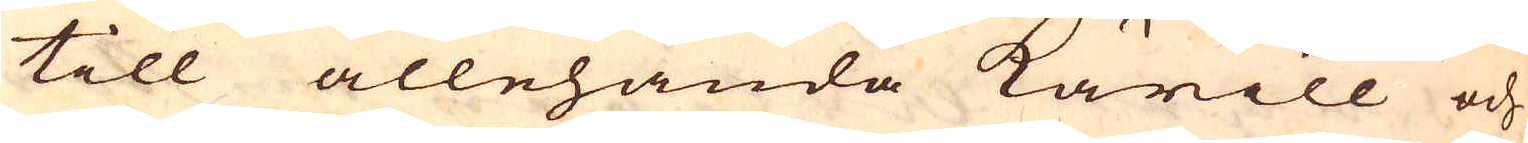till allehanda kärill och
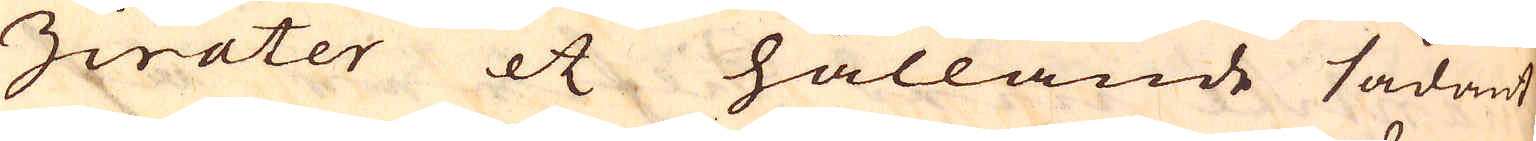Ziter etc hållande sådant
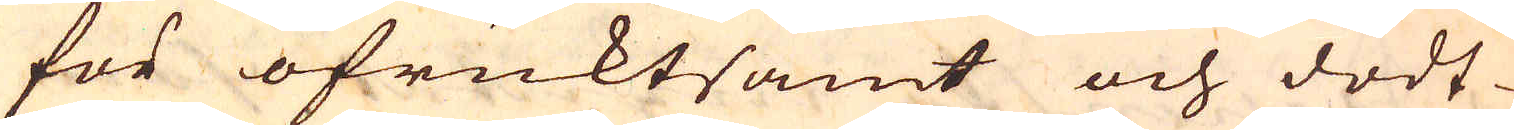för ofruktsamt och dödt
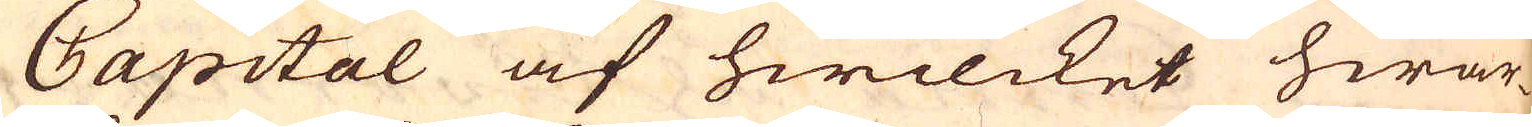Capital af hwilcket hwar-
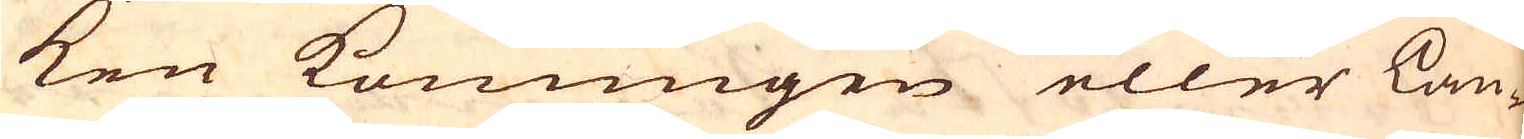ken Konungen eller Lan-
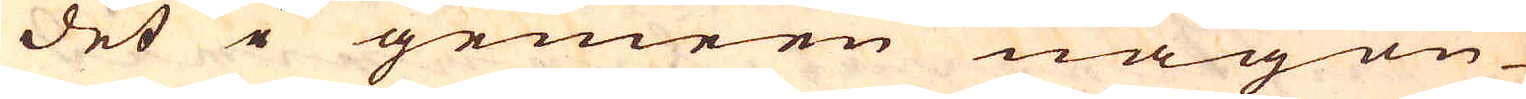det i gemeen någon
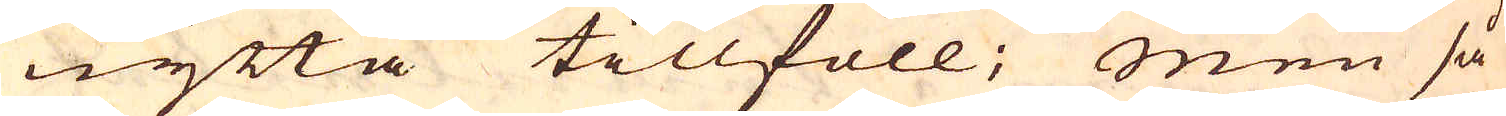nytta tillföll; Men så
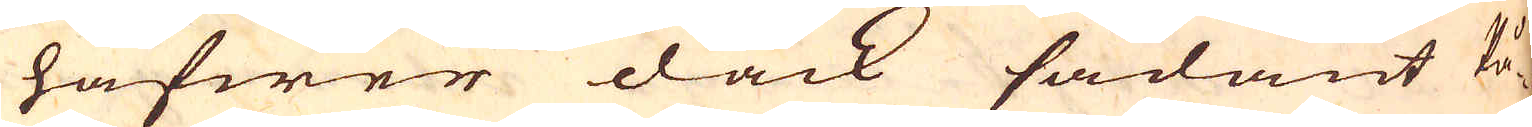hafwer dock sådant På-
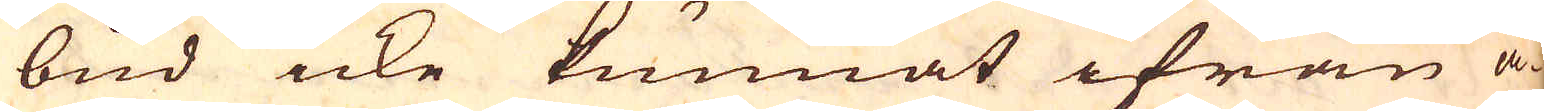bud icke kunnat ifrån ä-
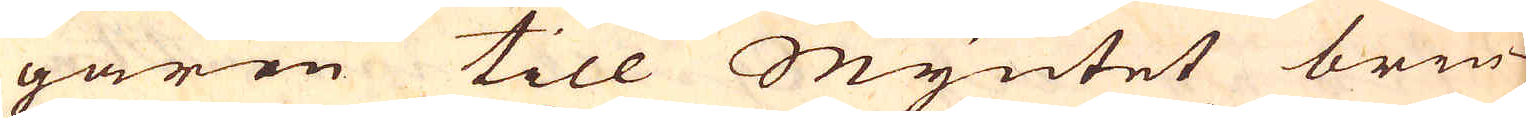garen till Myntet brin-
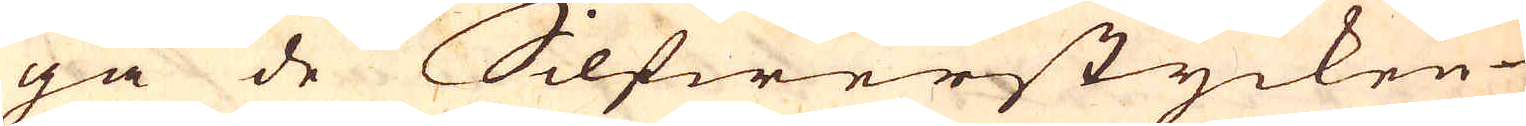ga de Silfwerstycken
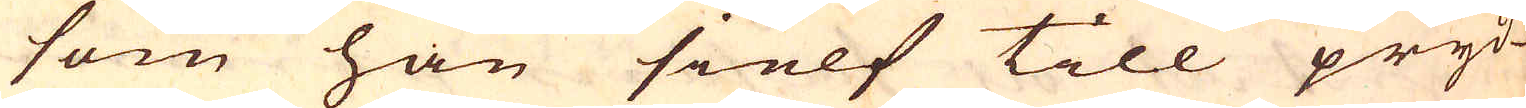som han sielf till pryd-
